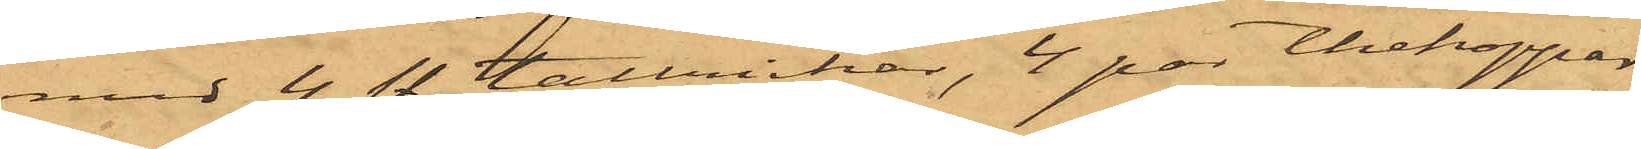med 4 sty. tallrikar, 4 par tbekoppar
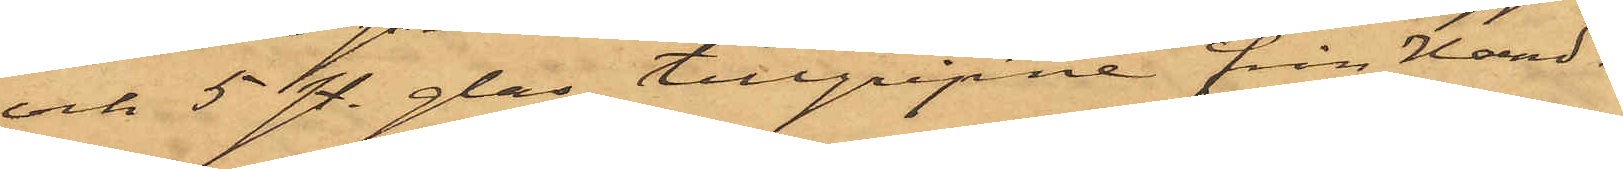och 5 sty. glas, tillgripne från Hand¬
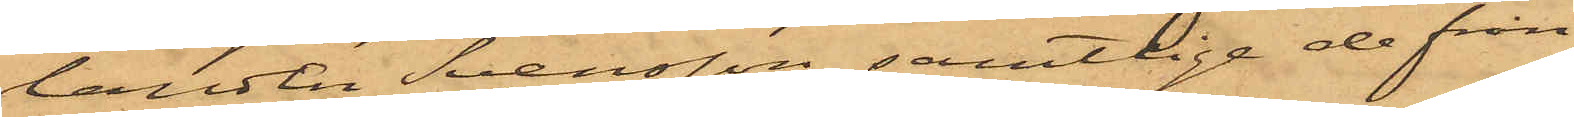landen Svensson, samtlige de från
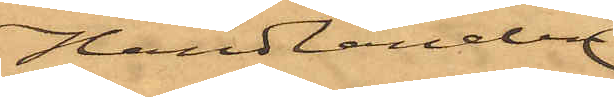Handlanden
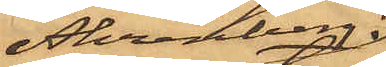Ahrenberg
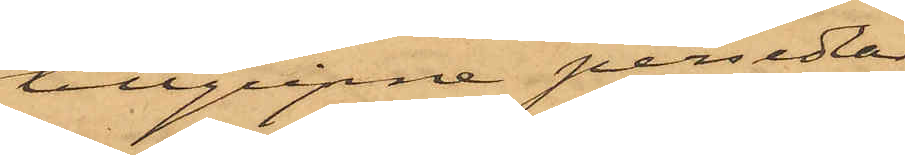tillgripne persedlar
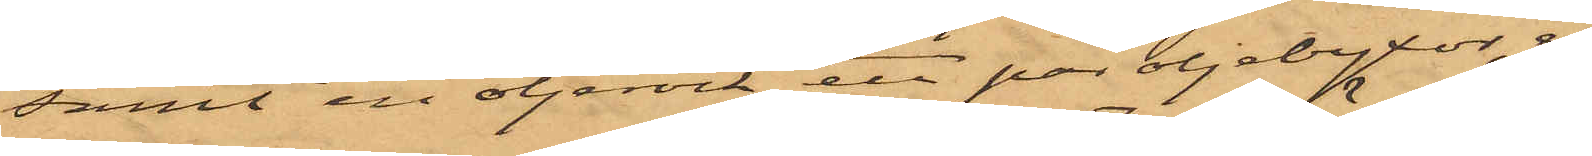samt en oljerock, ett par oljebyxor, en
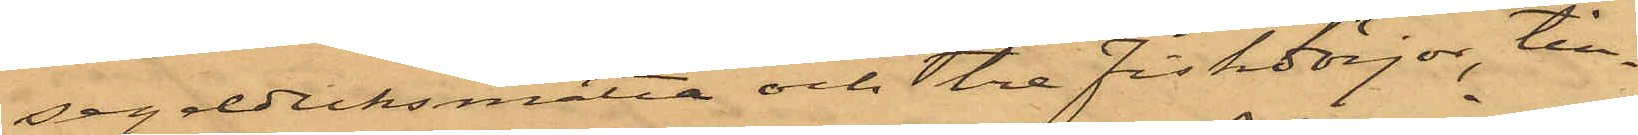segelduksmatta och tre fiskdörjar, till¬
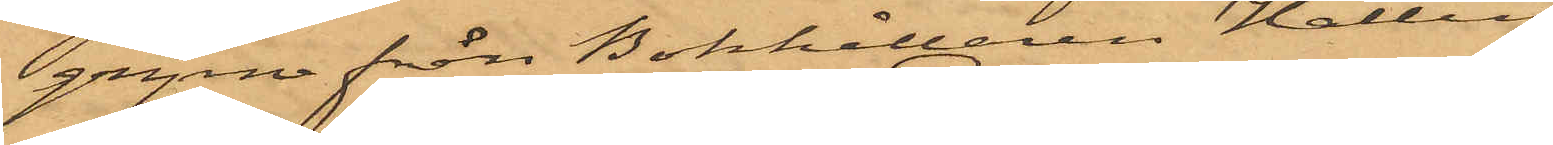gripne från Bokhållaren Hallin.
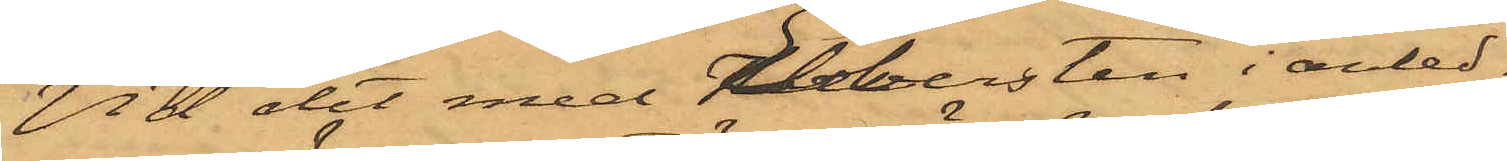Vid det med Ebbersten i anled¬
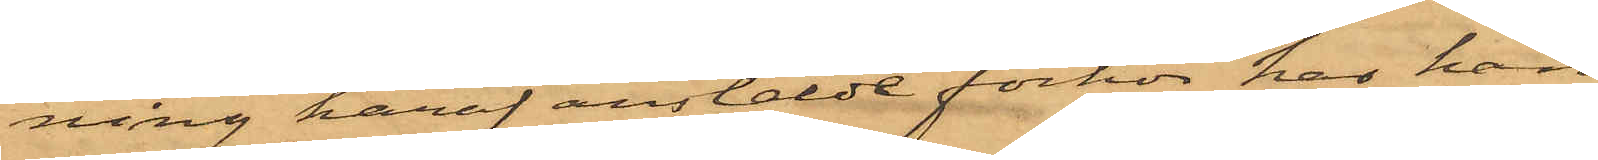ning häraf anstälde förhör har han
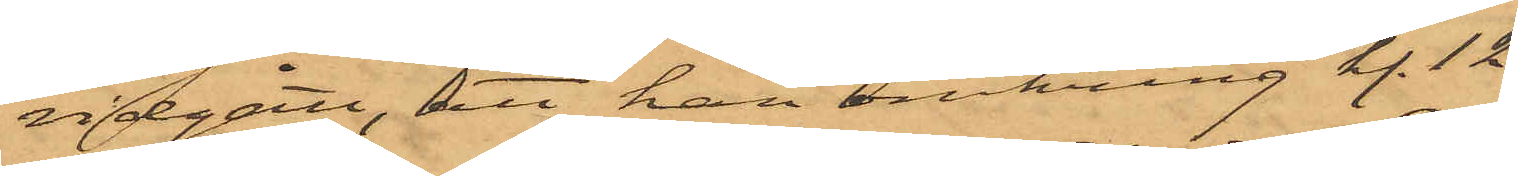vidgått, att han omkring kl. 12
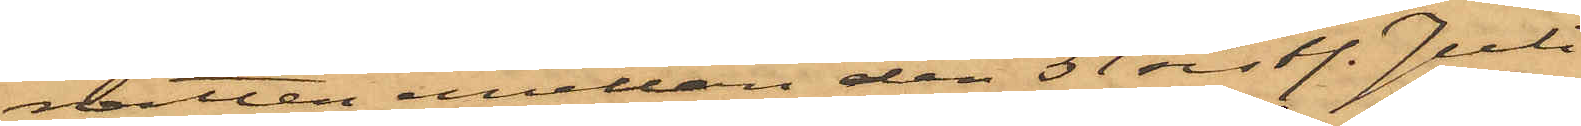natten emellan den 31 sist. Juli
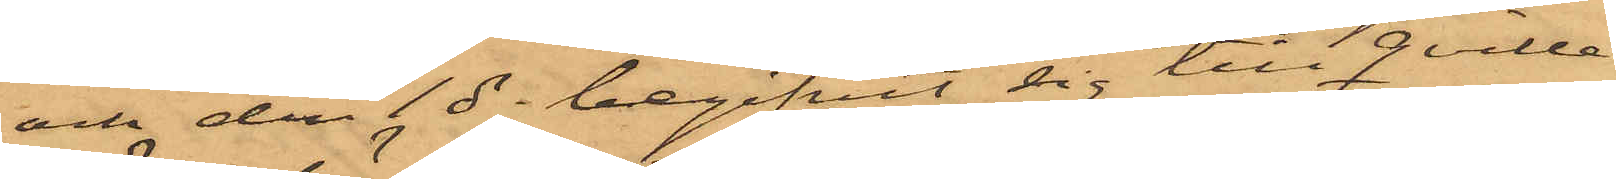och den 1 ds begifvit sig till Qville¬
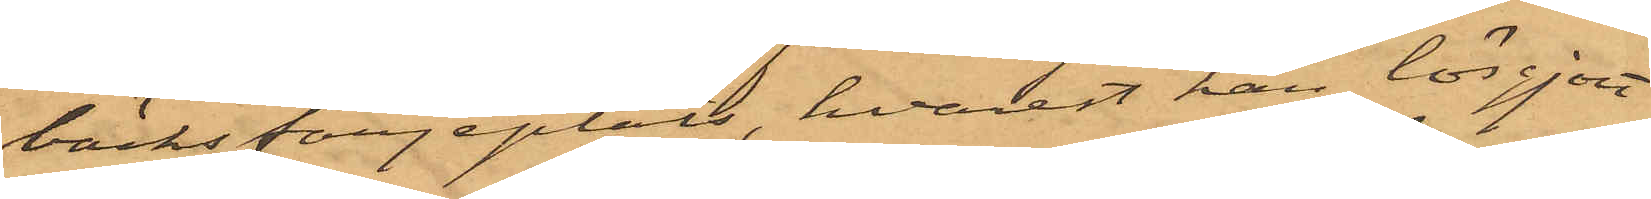bäcks färjeplats, hvarest han lösgjort
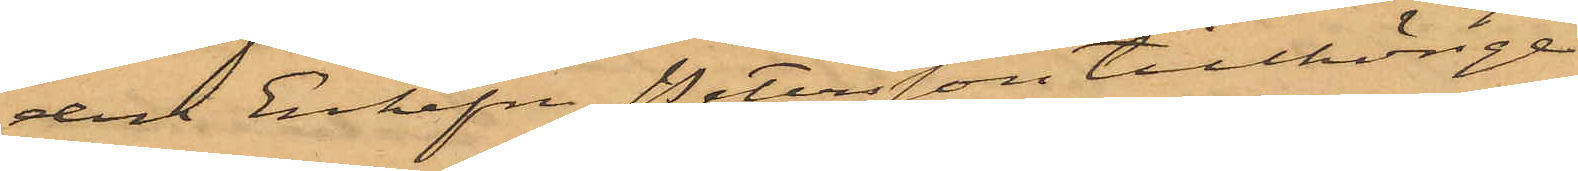den Enkefru Petersson tillhörige
